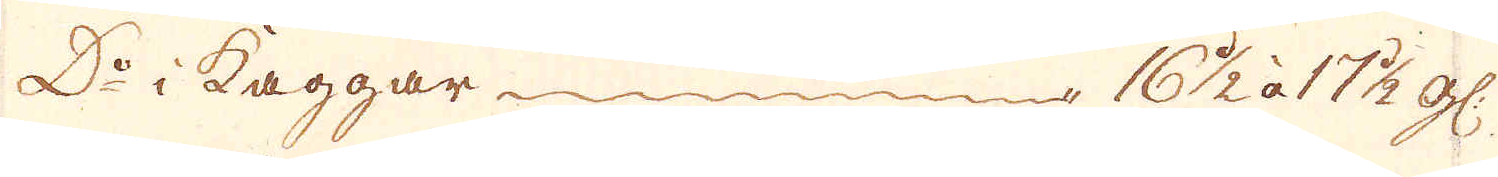D:o i kaggar 16 1/2 à 17 1/2 gl:
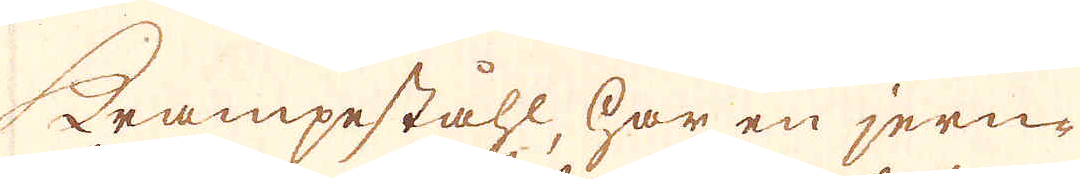Krampeståhl, har en jern-
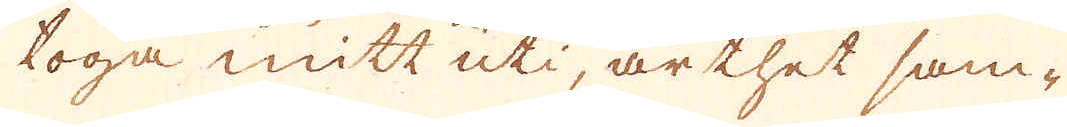toga mitt uti, är thet sam-
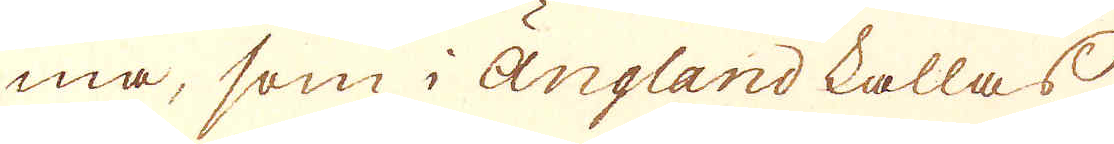ma, som i Ängland kallas
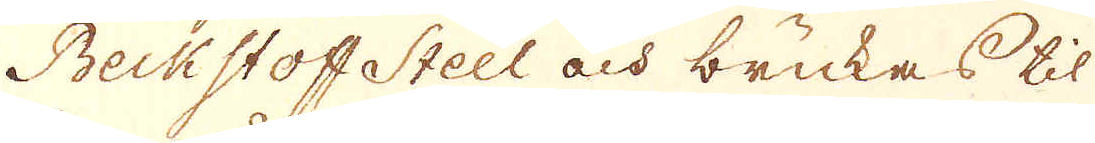Beckstoff Steel och brukas til
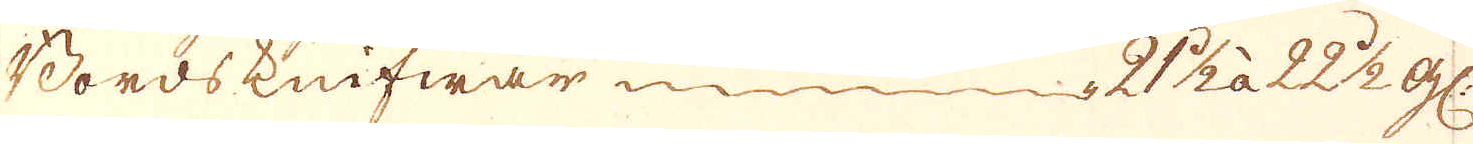Bordsknifwar 2 1/2 à 22 1/2 gl:
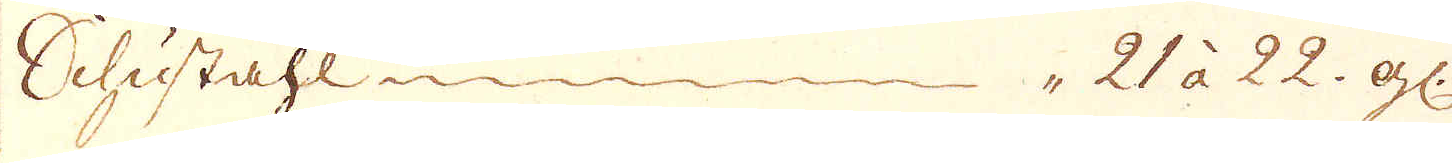Schustahl 21 à 22. gl:
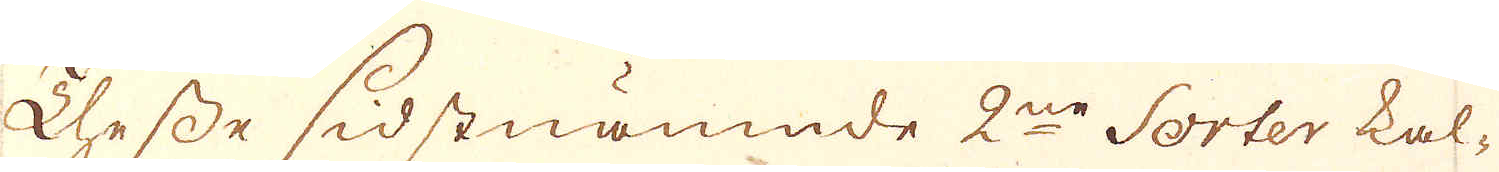Thesse sidstnämnde 2:ne Sorter kal-
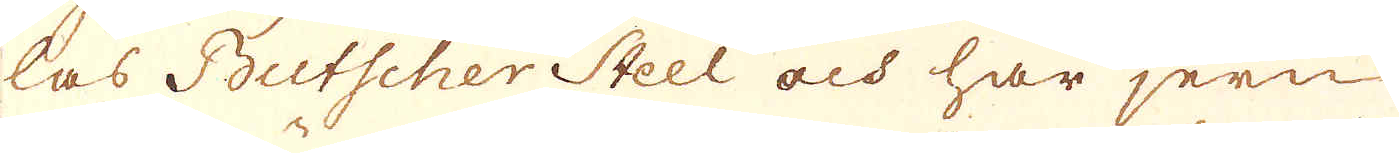las Butscher Steel och har jern
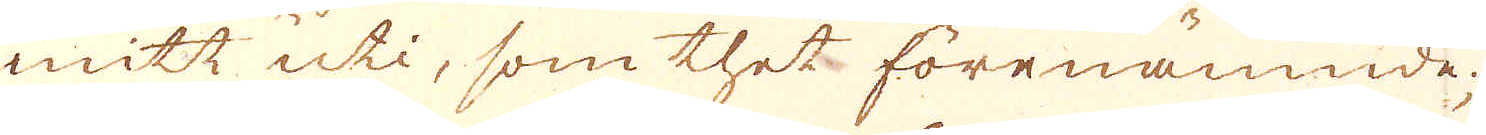mitt uti, som thet förenämnde;
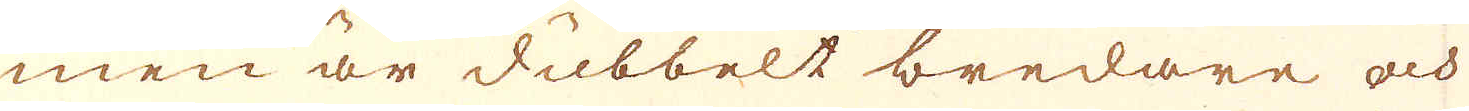men är dubbelt bredare och
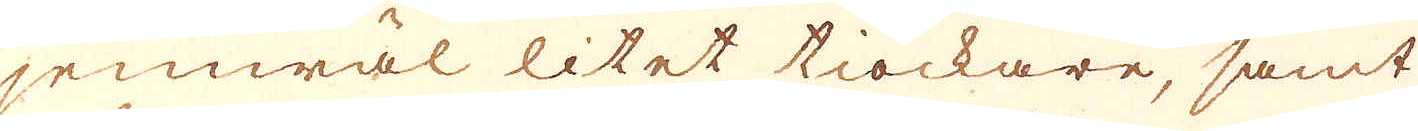jemwäl litet tiockare, samt
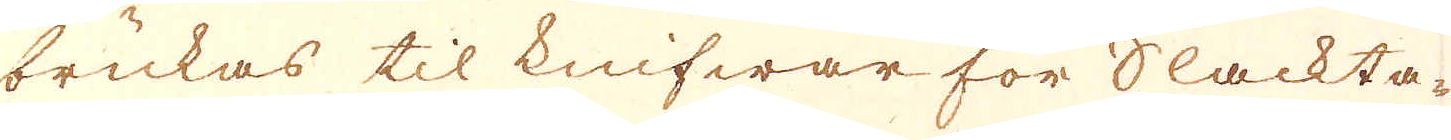brukas til knifwar för Slackta-
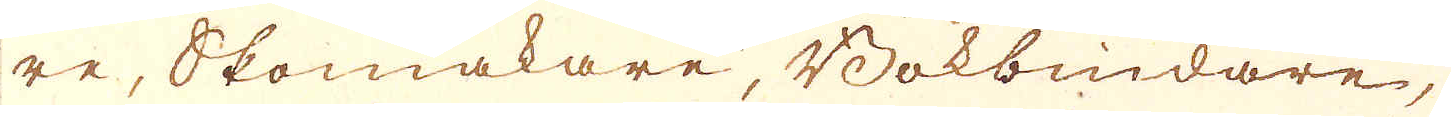re, Skomakare, Bokbindare,
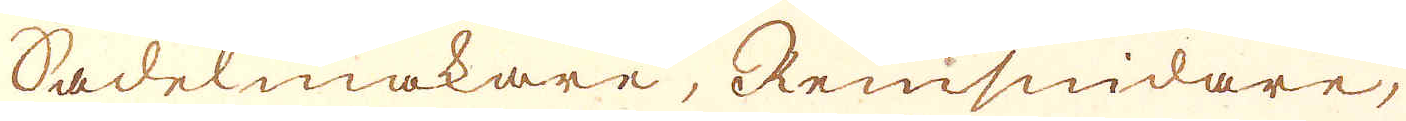Sadelmakare, Remsnidare,
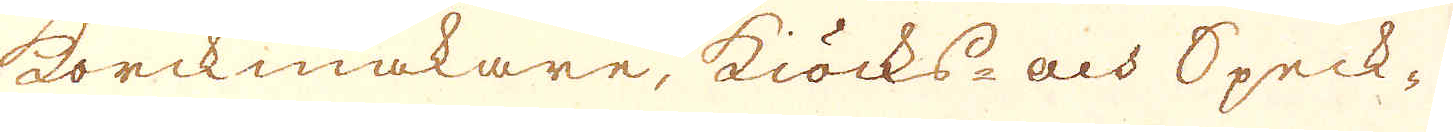korckmakare, kiöcks- och Speck-
